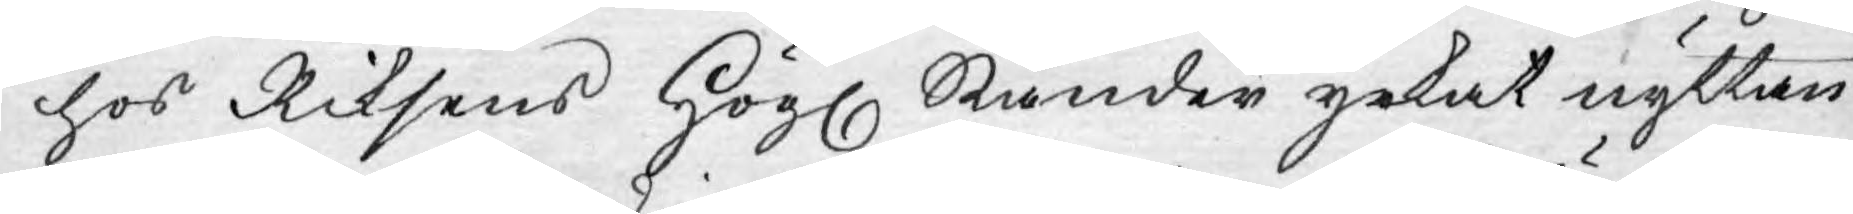hos Riksens Högl. Ständer yrkat nyttan
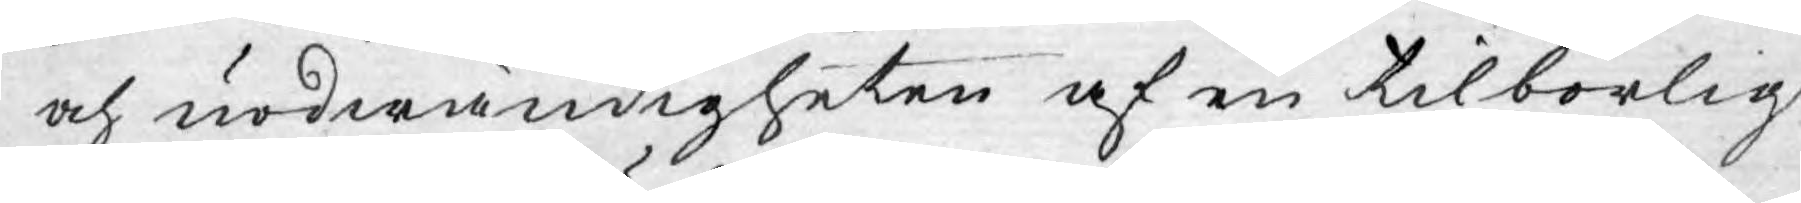och nödwändigheten af en tilbörlig
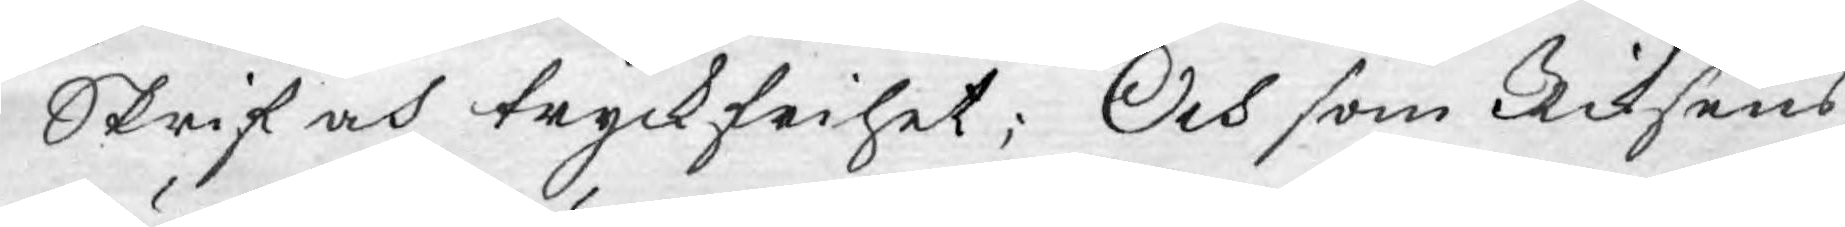Skrif och tryckfrihet; Och som Riksens
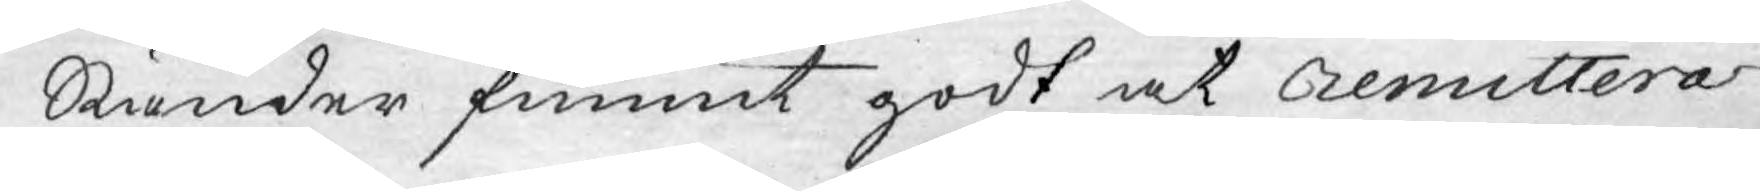Ständer funnit godt at remittera
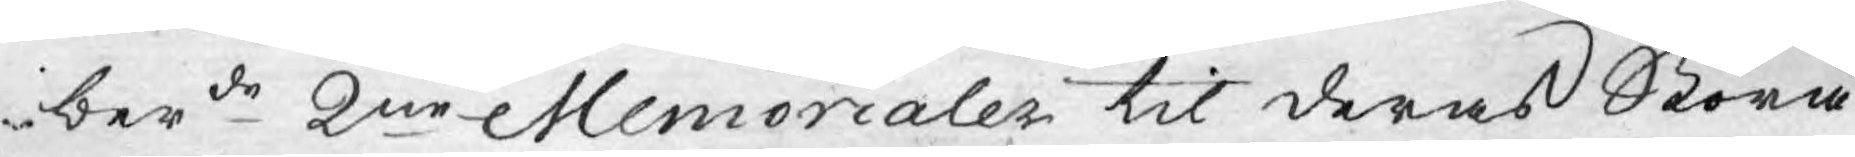berde 2ne Memorialer til deras Stora
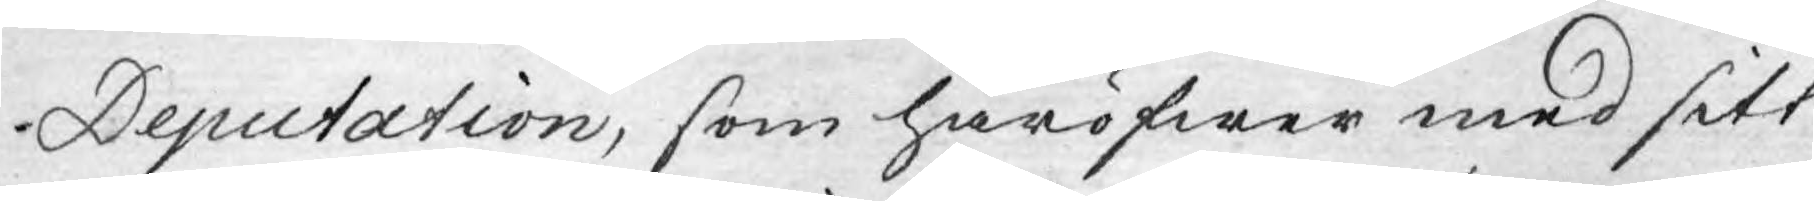Deputation, som häröfwer med sitt
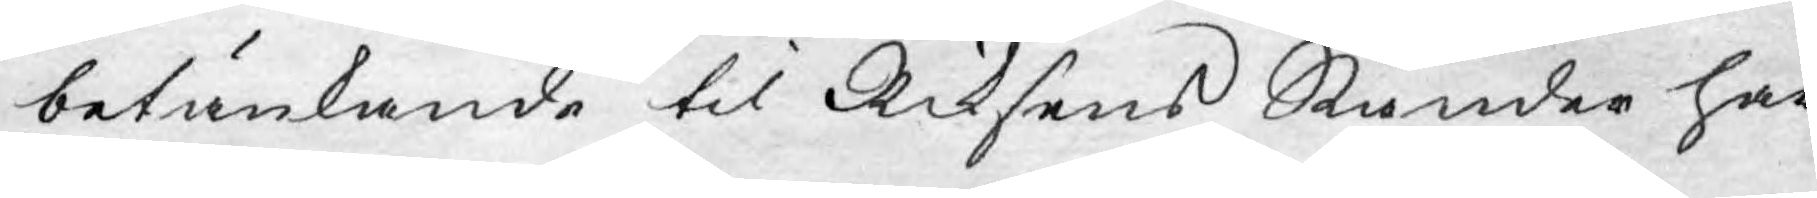betänkande til Riksens Ständer har
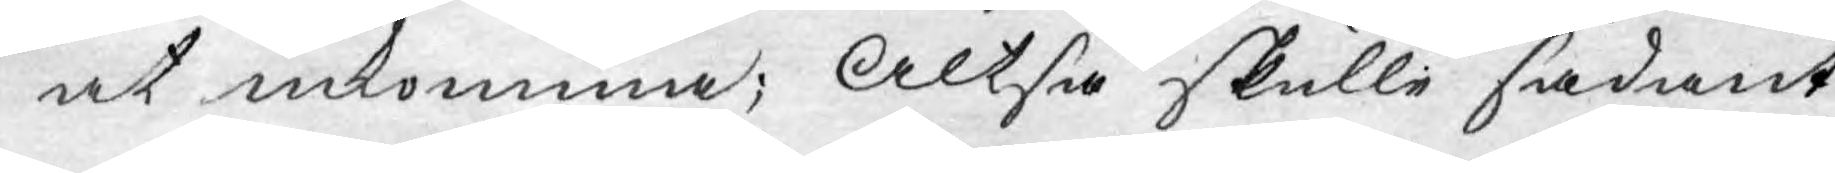at inkomma; Altså skulle sådant
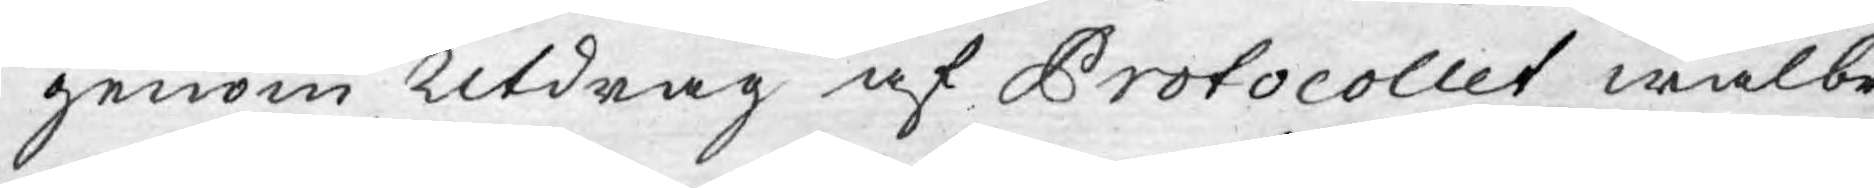genom Utdrag af Protocollet wälbe¬
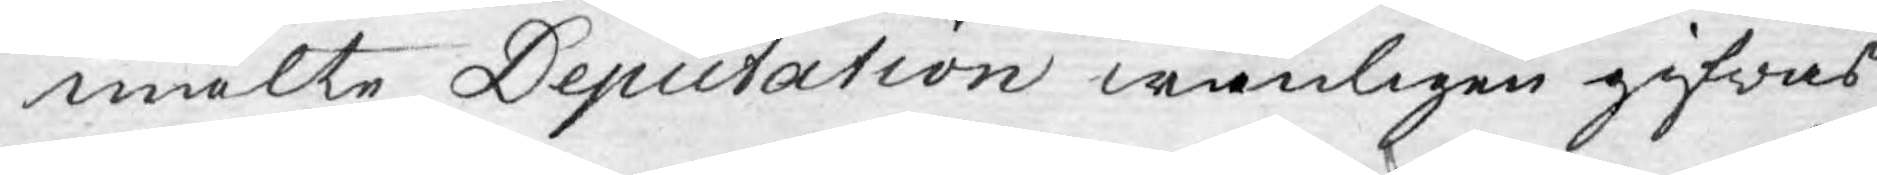mälte Deputation wänligen gifwas
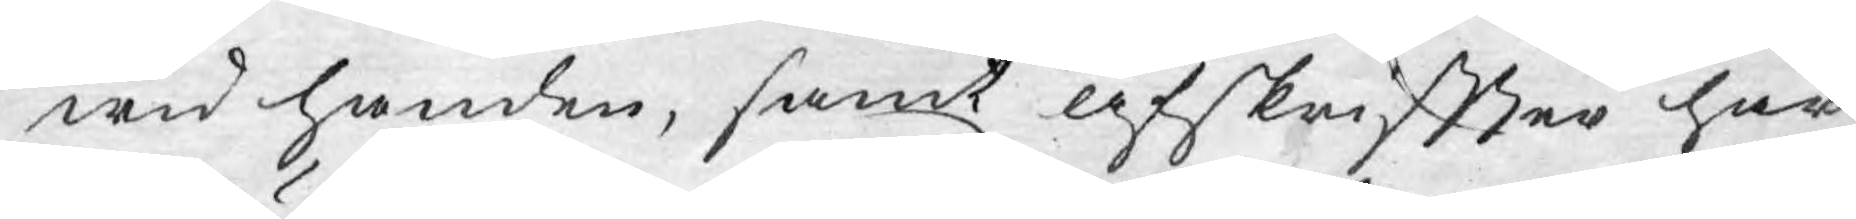wid handen, samt afskriftter här
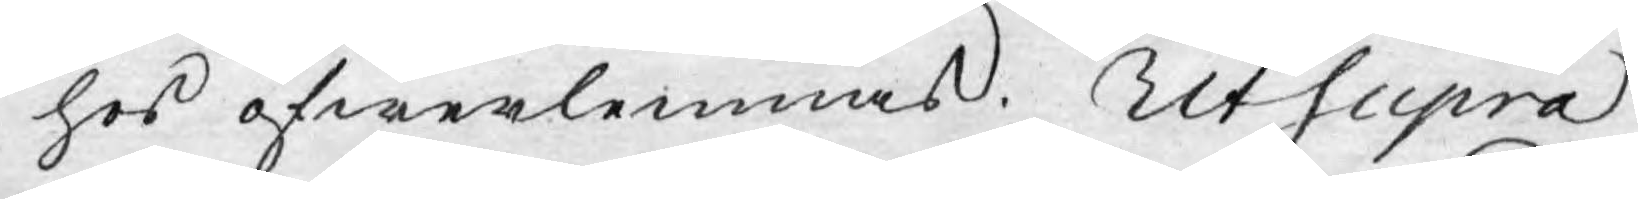hos öfwerlemnas. Ut Supra
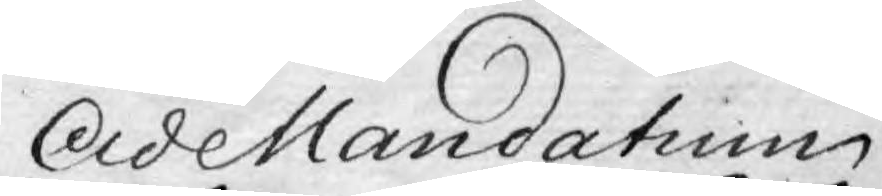AdeMandatium
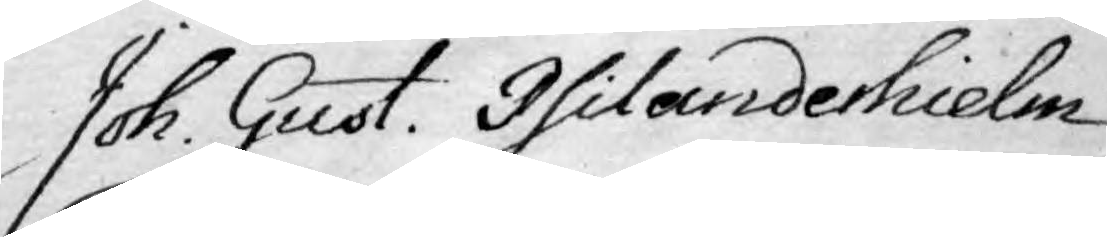Joh. Gust. Philanderhielm
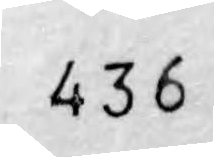436
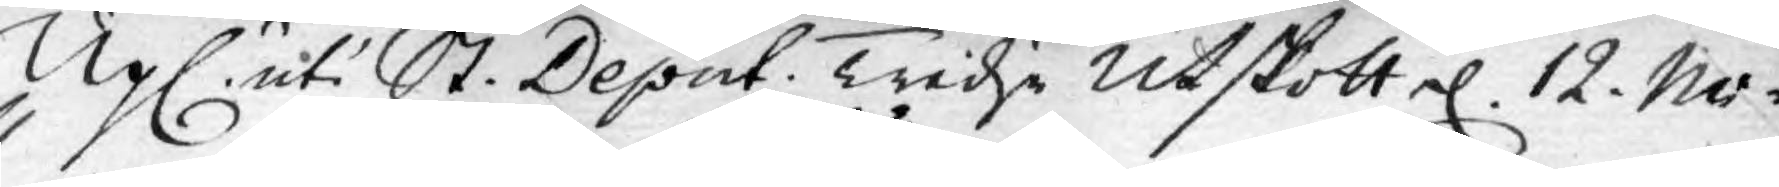Upl. uti St. Deput. Tredje Utskott d. 12. No¬
